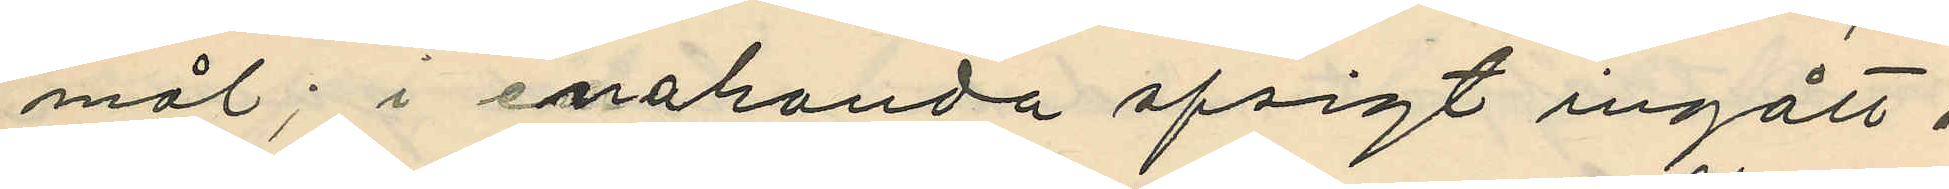mål; i enahanda afsigt ingått i
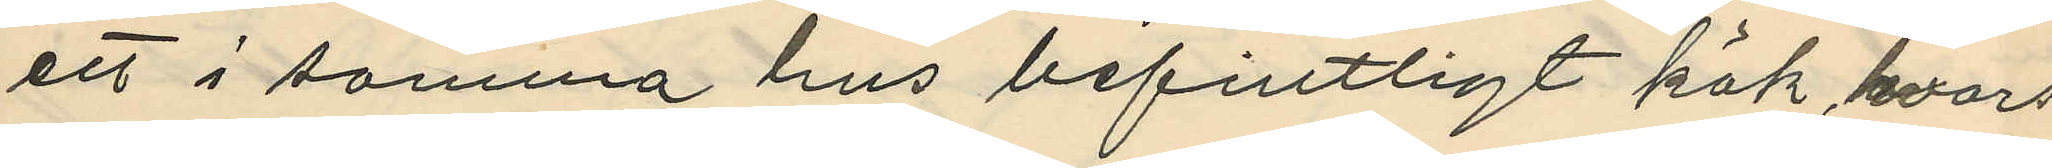ett i samma hus befintligt kök, hvars
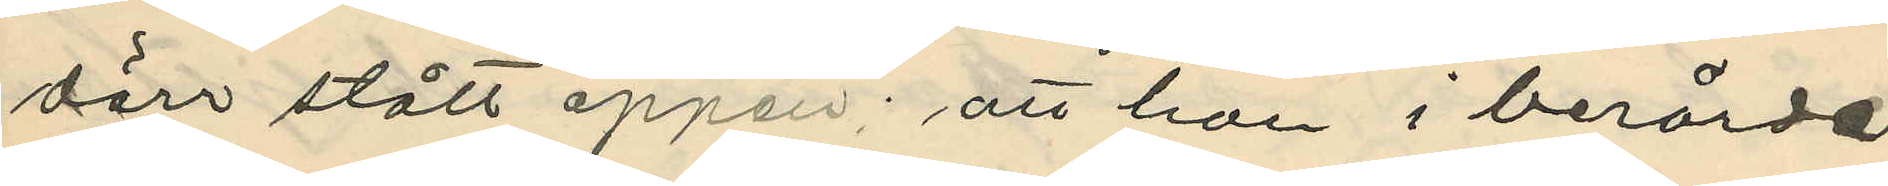dörr stått öppen; att han i berörde
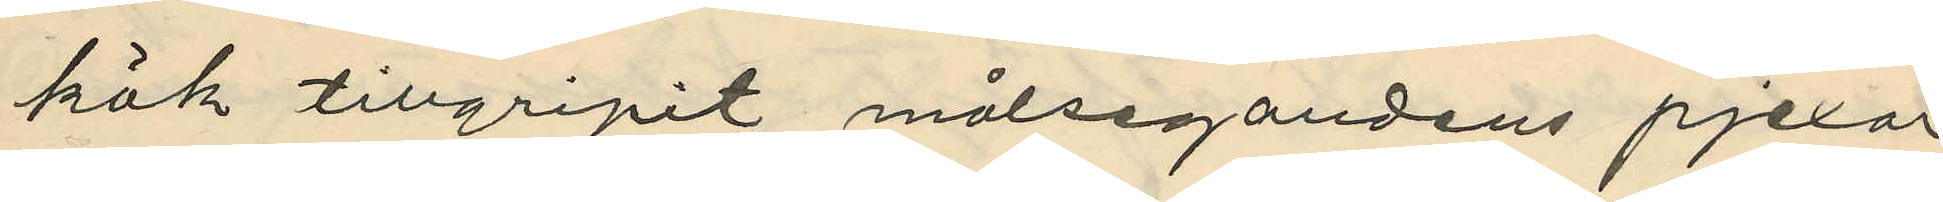kök tillgripit målsegandens pjexor
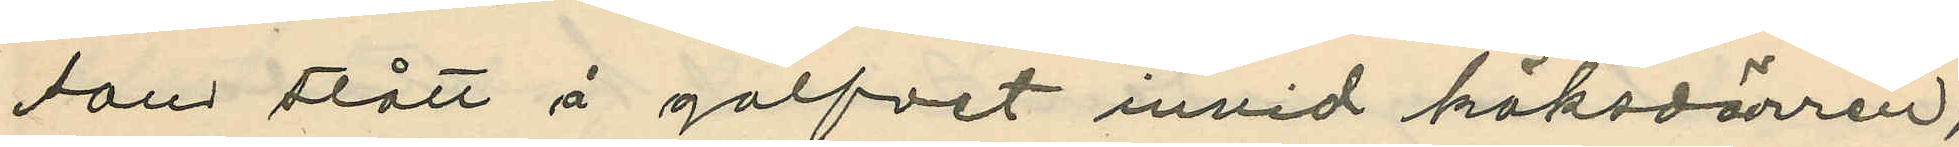som stått å golfvet invid köksdörren,
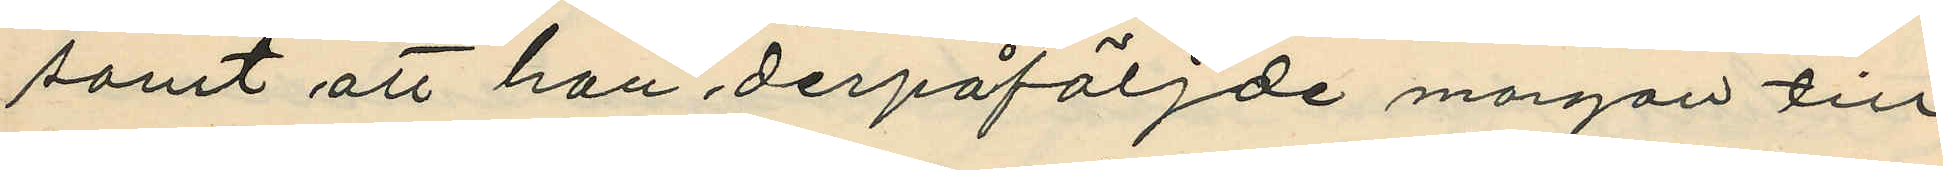samt att han derpåföljde morgon till
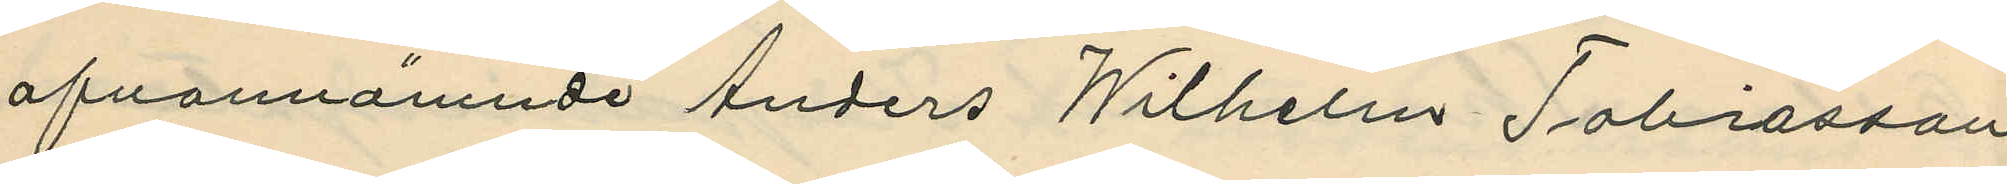ofvannämnde Anders Wilhelm Tobiasson
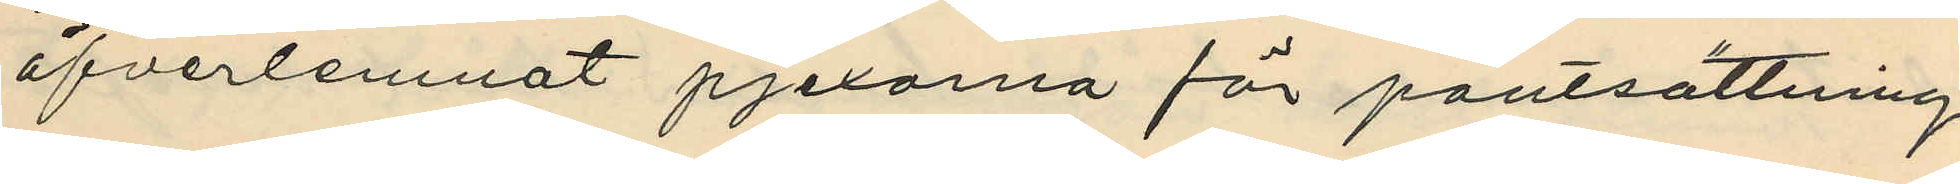öfverlemnat pjexorna för pantsättning
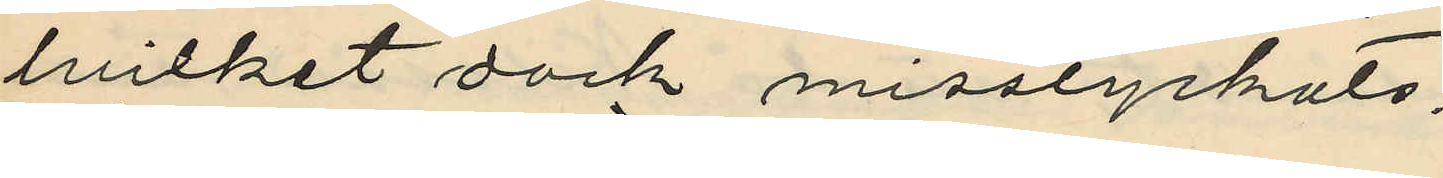hvilket dock misslyckats.
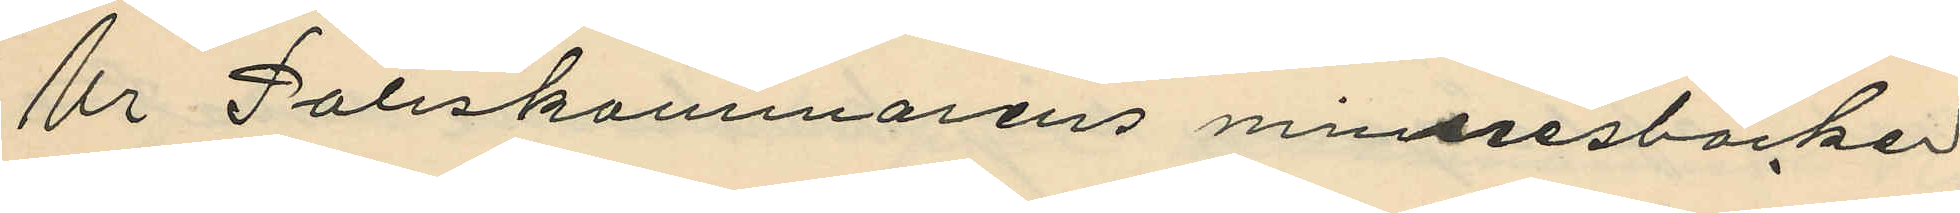Ur Poliskammarens minnesböcker
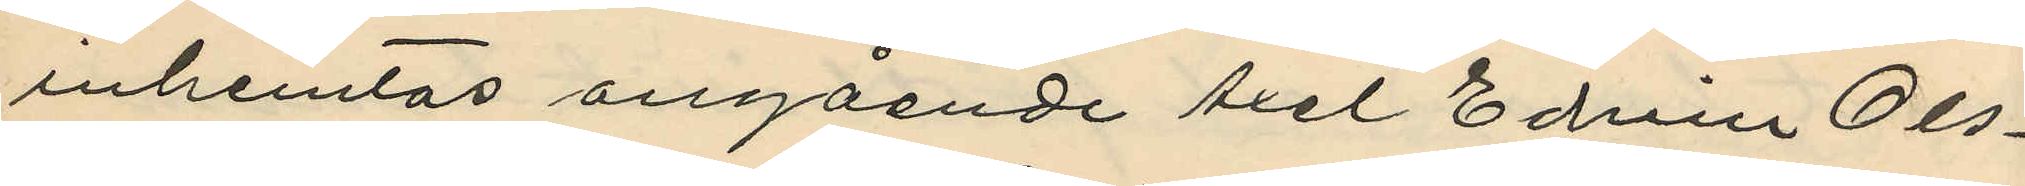inhemtas angående Axel Edvin Ols¬
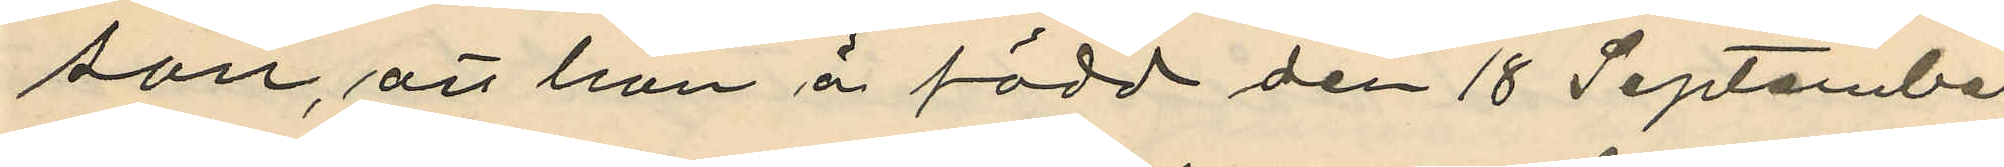son, att han är född den 18 September
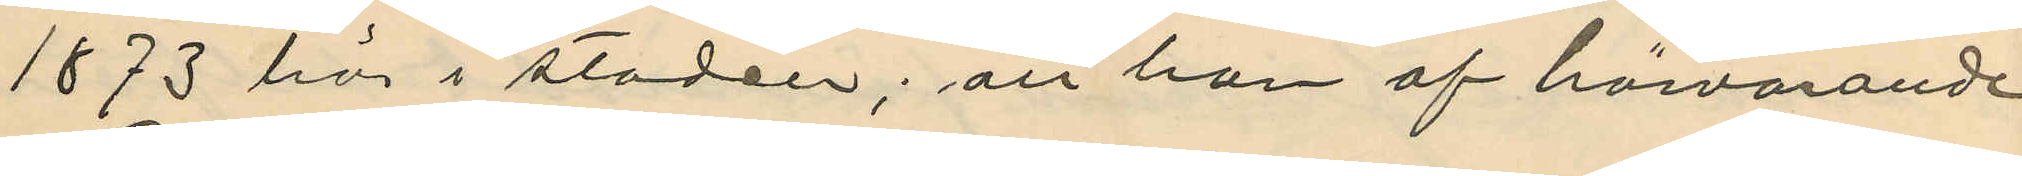1873 här i staden; att han af härvarande
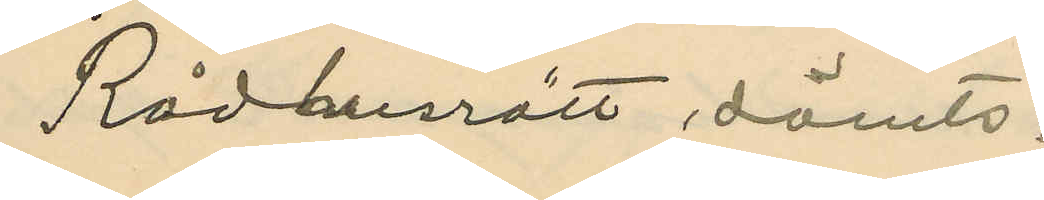Rådhusrätt dömts:
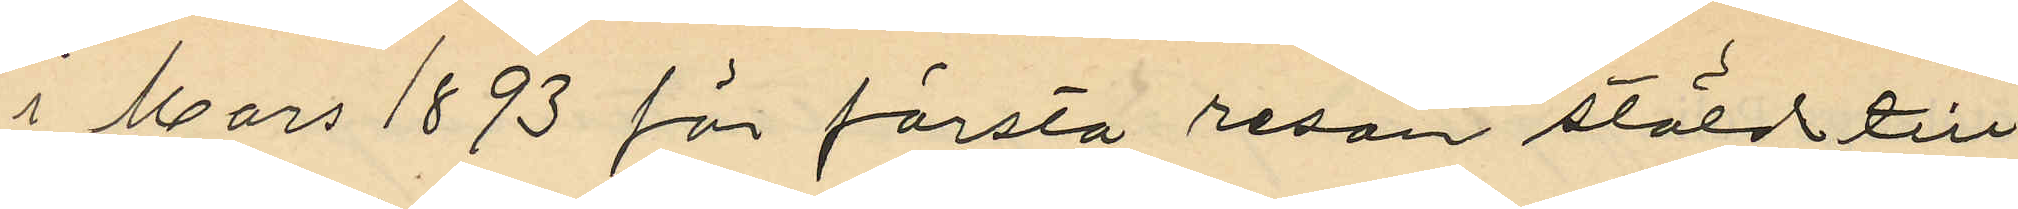i Mars 1893 för första resan stöld till
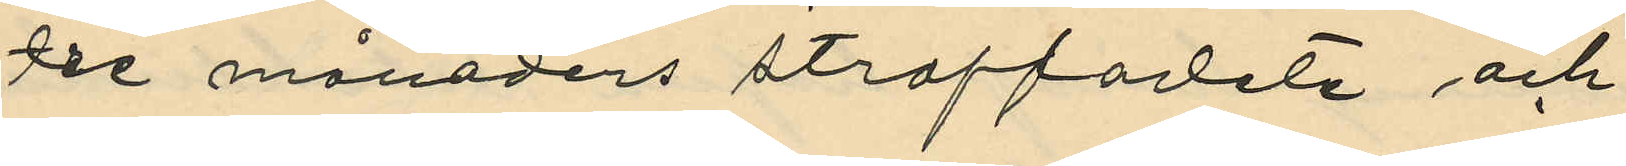tre månaders straffarlete och
